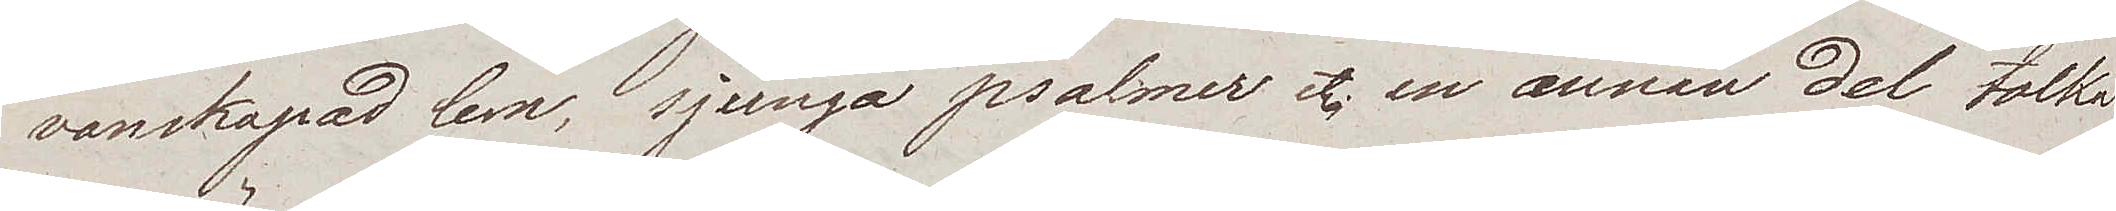vanskapad lem, sjunga psalmer etc. en annan del tolka
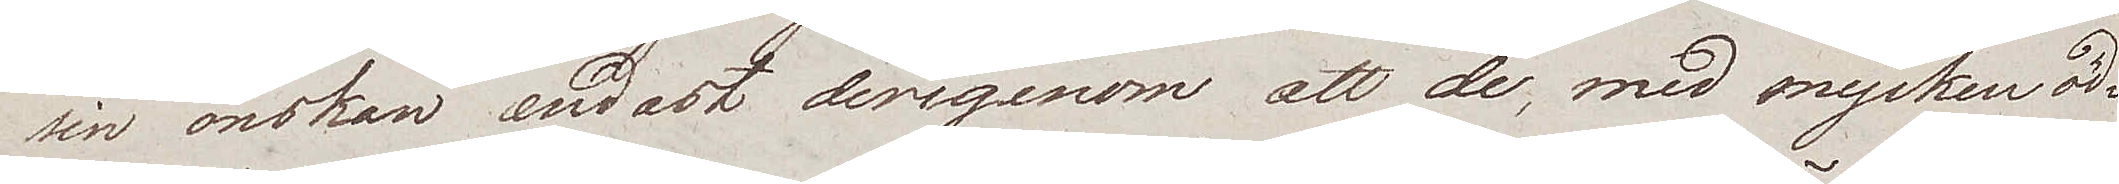sin önskan endast derigenom att de, med mycken öd¬
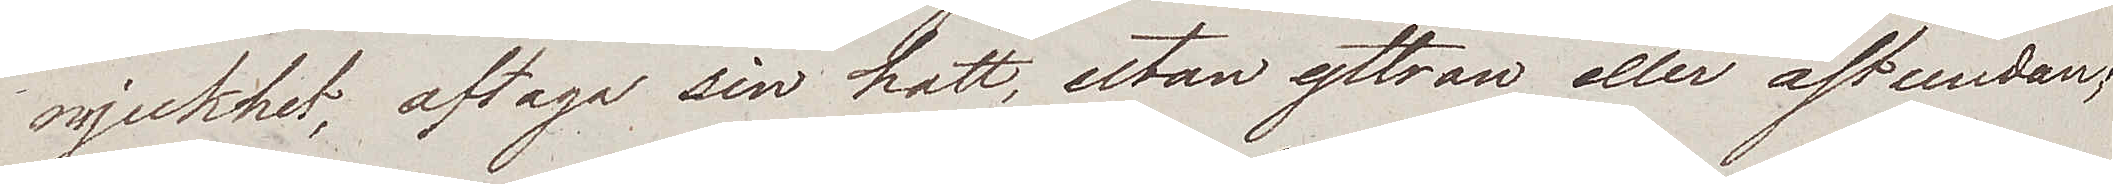mjukhet, aftaga sin hatt, utan yttran eller åstundan,
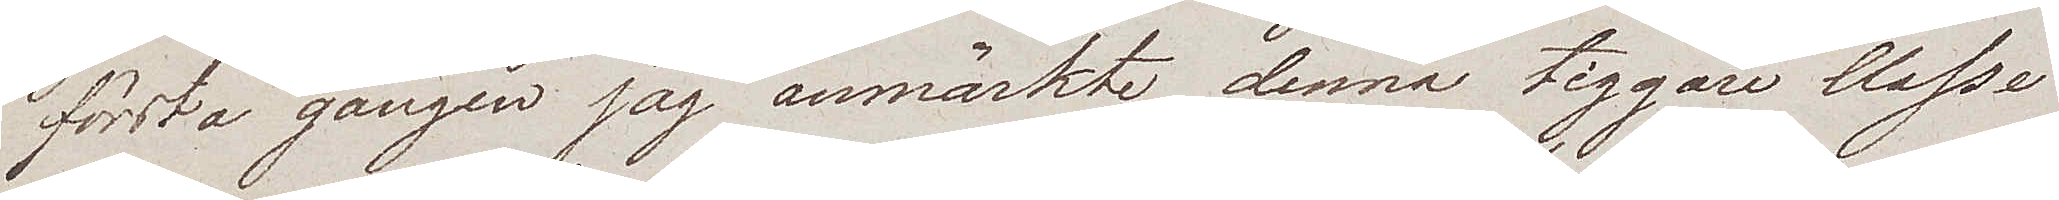första gången jag anmärkte denna tiggare Classe
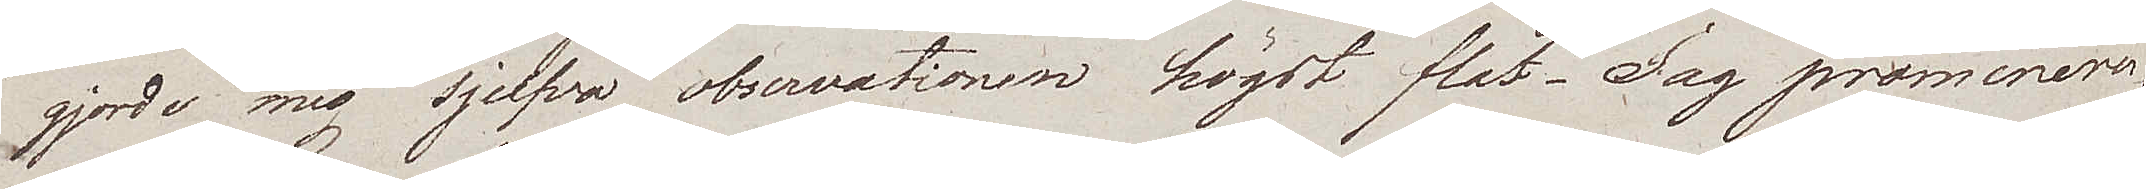gjorde mig sjelfva observationen högst flat. Jag promenerar¬
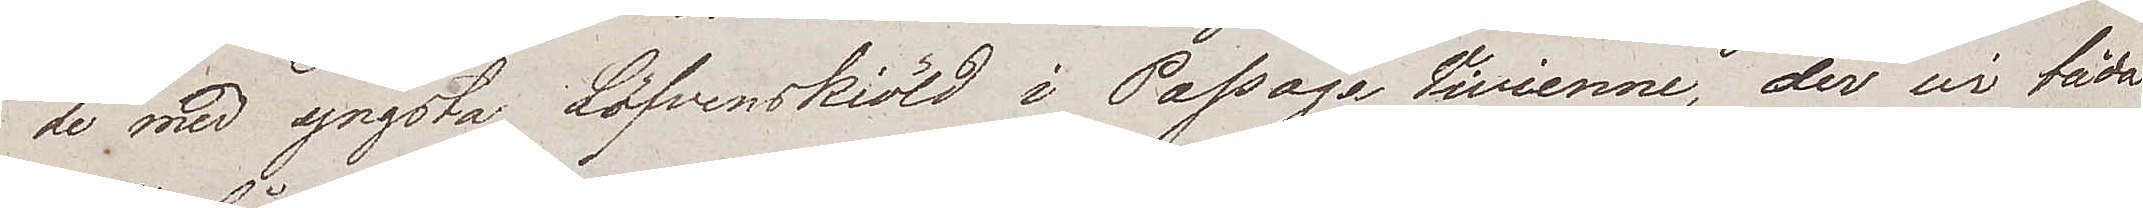de med yngsta Löfvenskiöld i Passage Vivienne, der vi båda
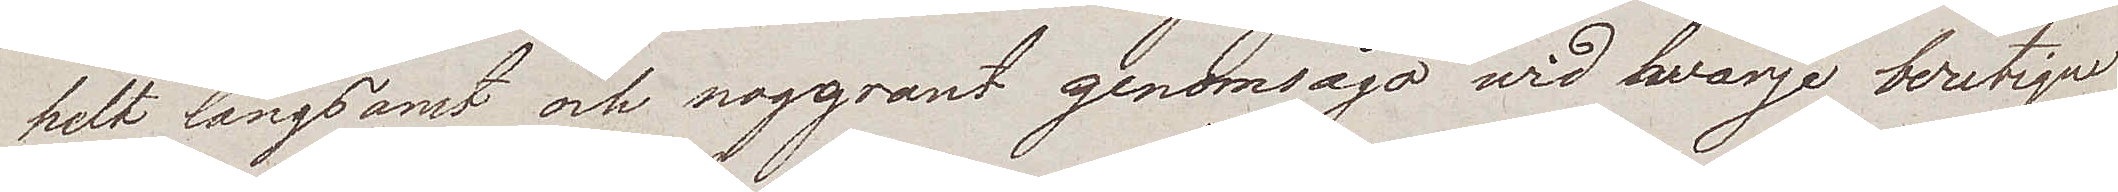helt långsamt och noggrant genomsågo wid hvarje boutique
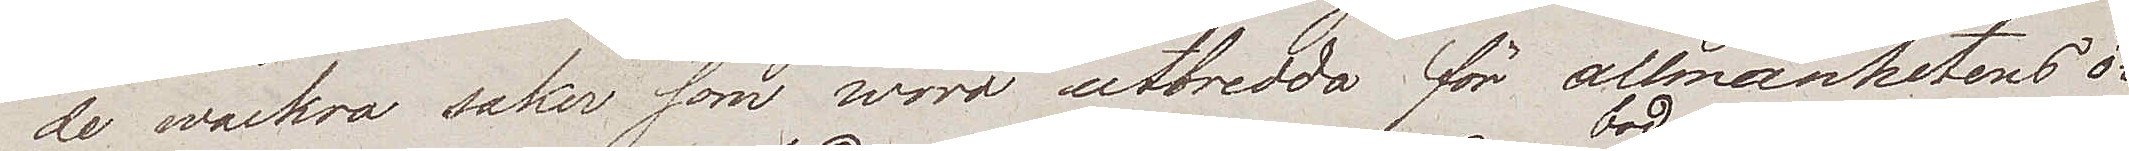de wackra saker som woro utbredda för allmänhetens ö¬
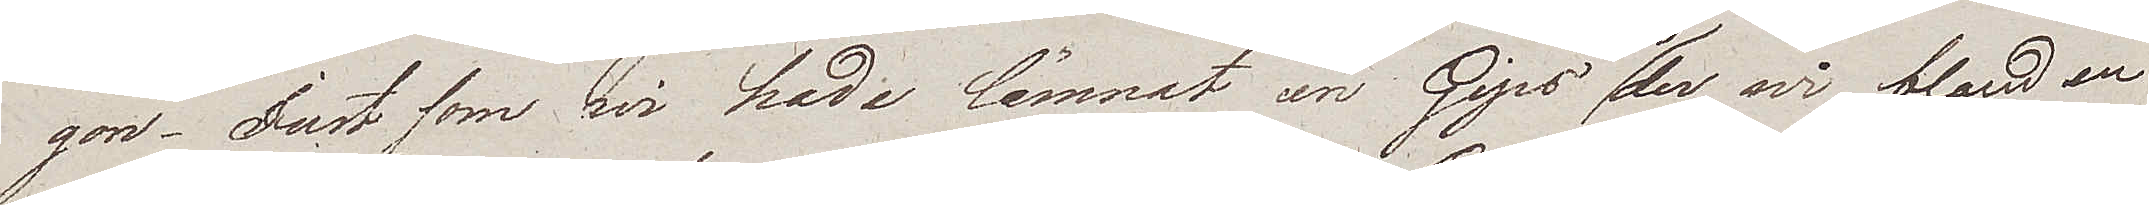gon. Just som wi hade lämnat en Gips bod, der wi bland en
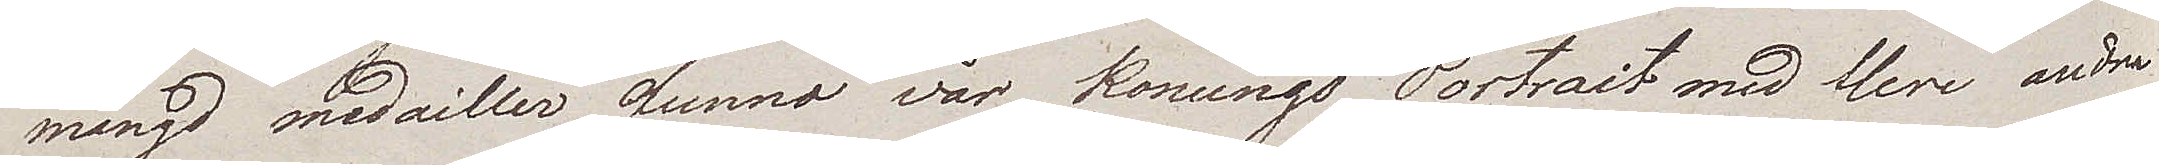mängd medailler funno vår Konungs Portrait med flere andra
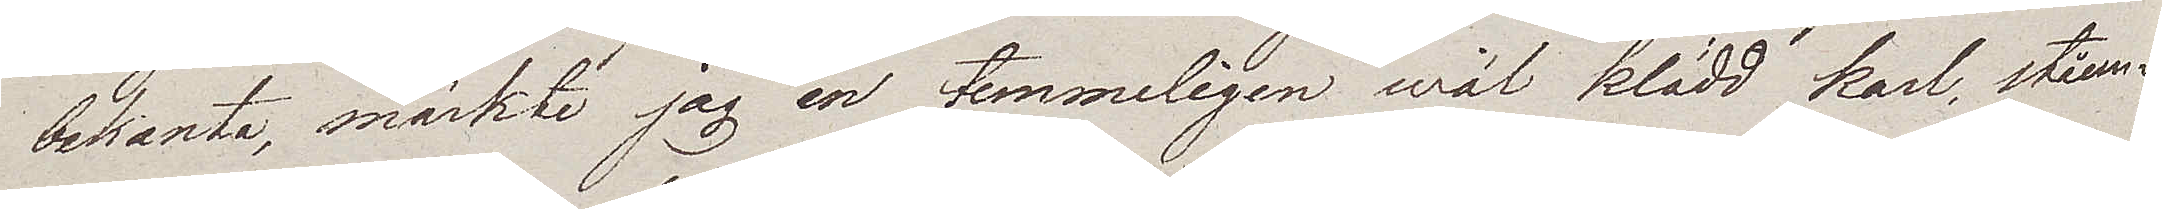bekanta, märkte jag en temmeligen wäl klädd karl, ståen¬
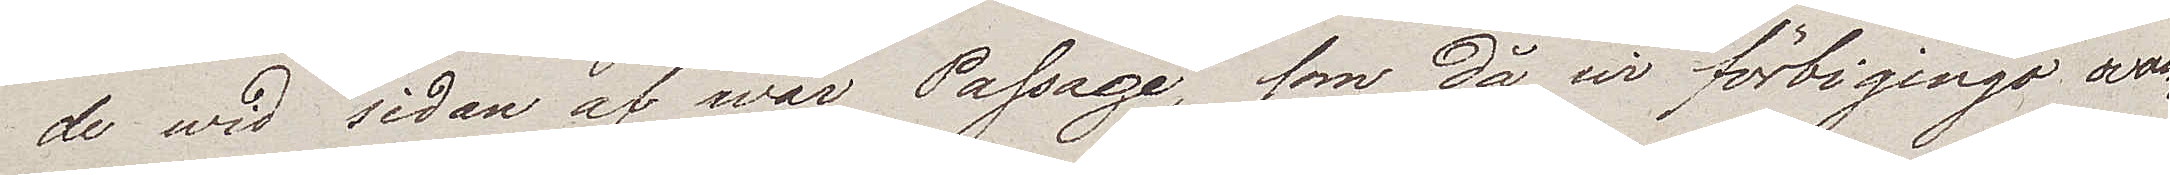de wid sidan af wår Passage, som då wi förbigingo ovan¬
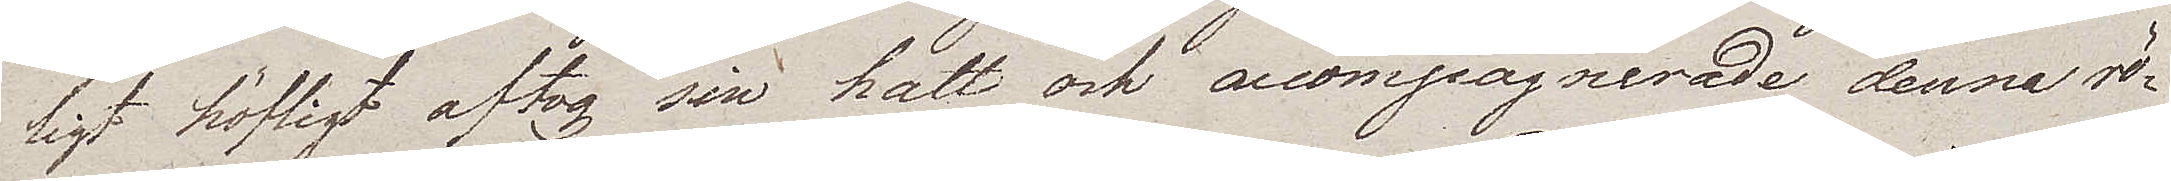ligt höfligt aftog sin hatt och accompagnerade denna rö¬
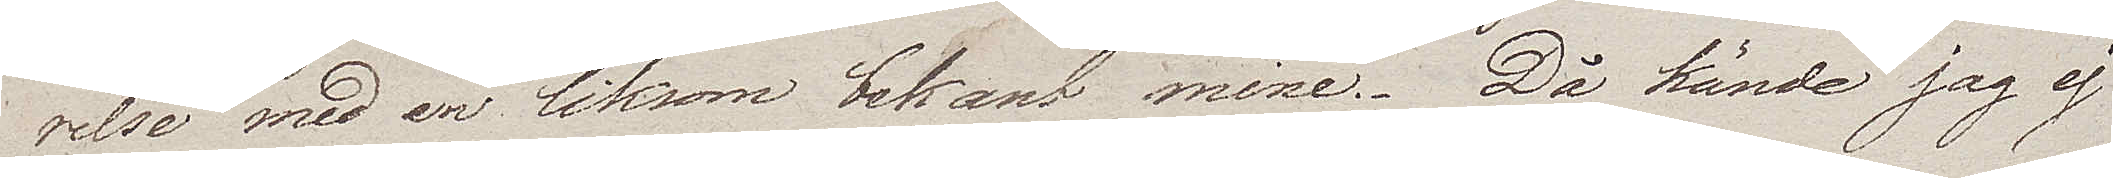relse med en liksom bekant mine. Då kände jag ej
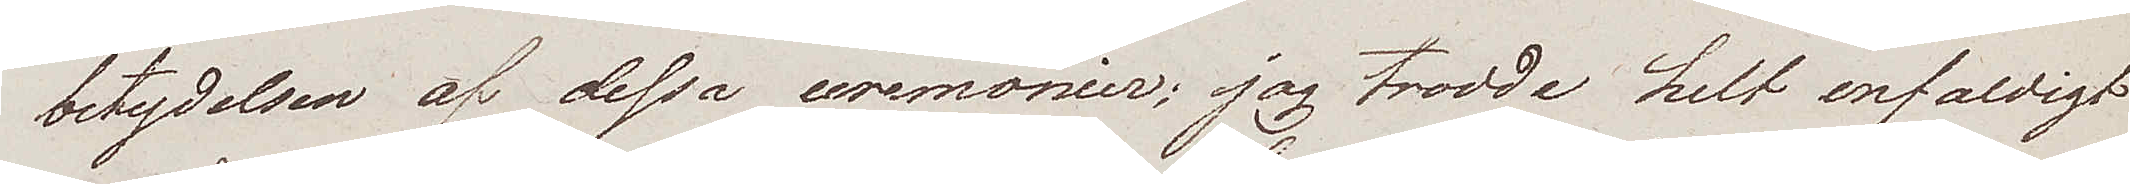betydelsen af dessa ceremonier; jag trodde helt enfaldigt
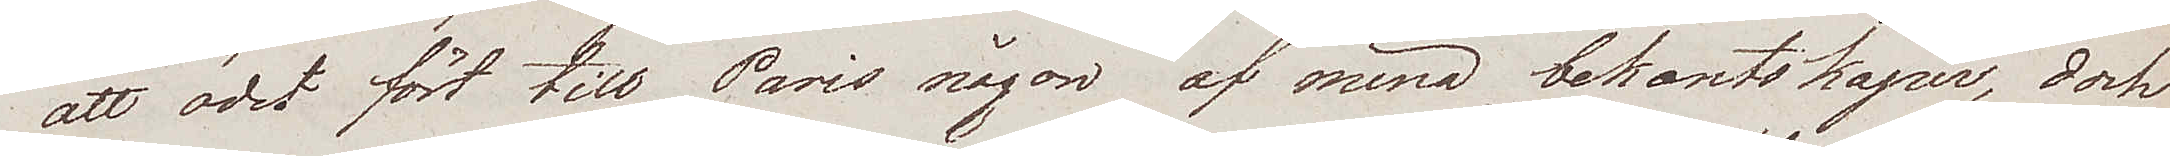att ödet fört till Paris någon av mina bekantskaper, dock
